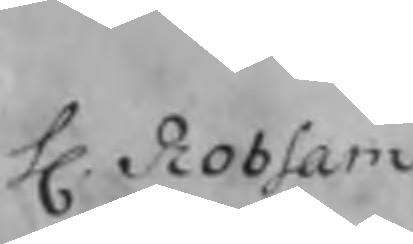H. Robsam
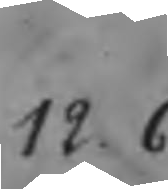12.6
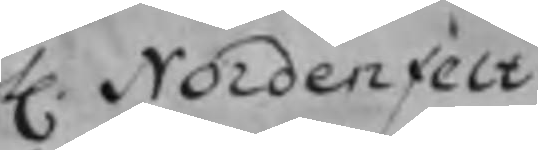H. Nodenfelt
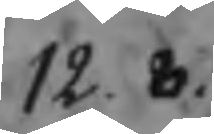12.8
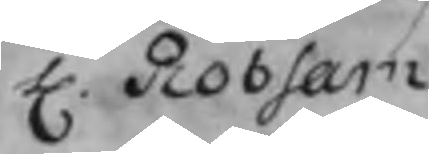H. Robsam
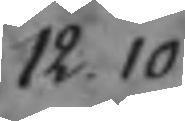12.10
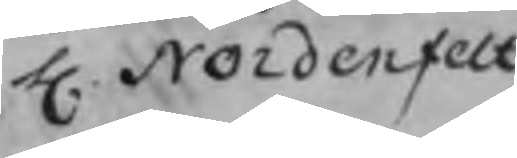H. Nordenfelt
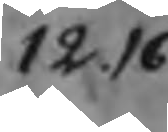12.16
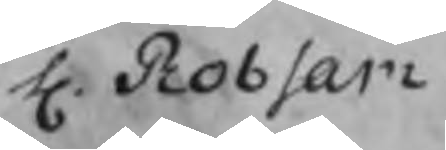H. Robsam
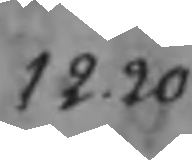12.20
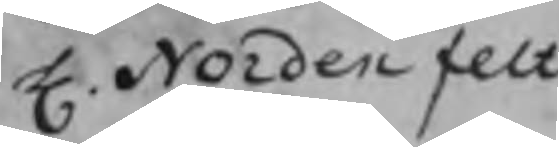H. Nordenfelt
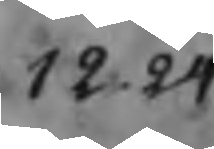12.24
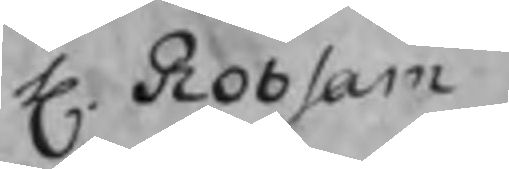H. Robsam
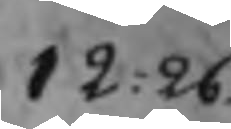12.26
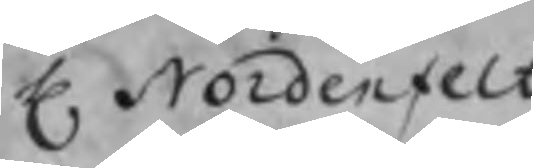H. Nordenfelt
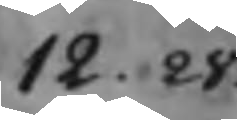12.28
